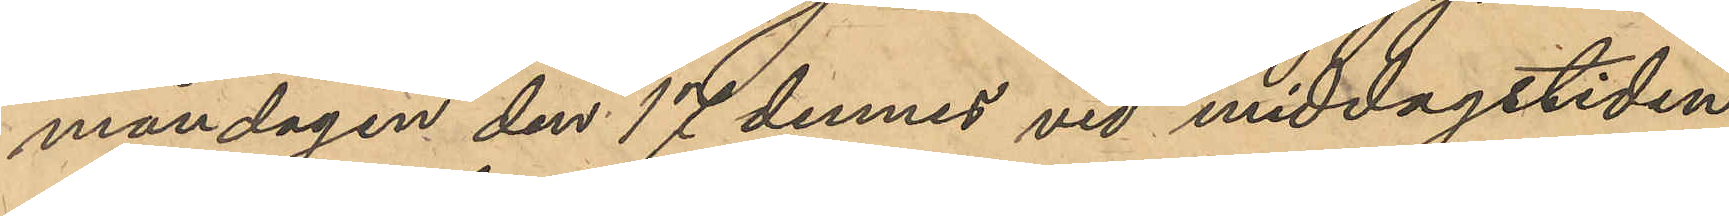måndagen den 17 dennes vid middagstiden,
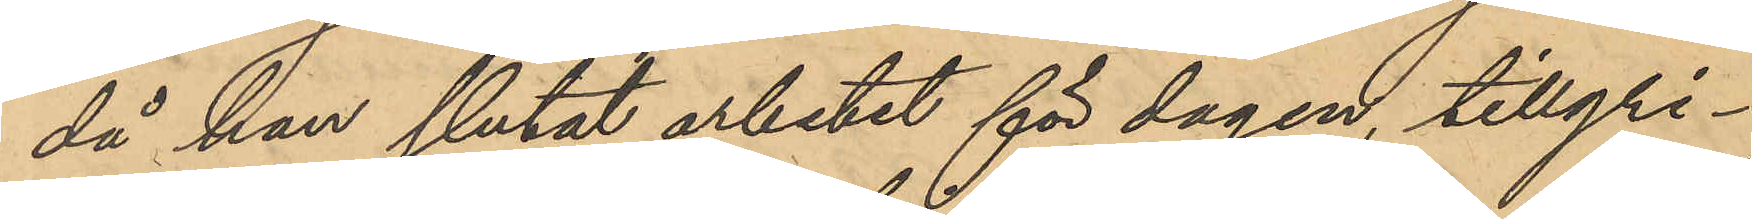då han slutat arbetet för dagen, tillgri¬
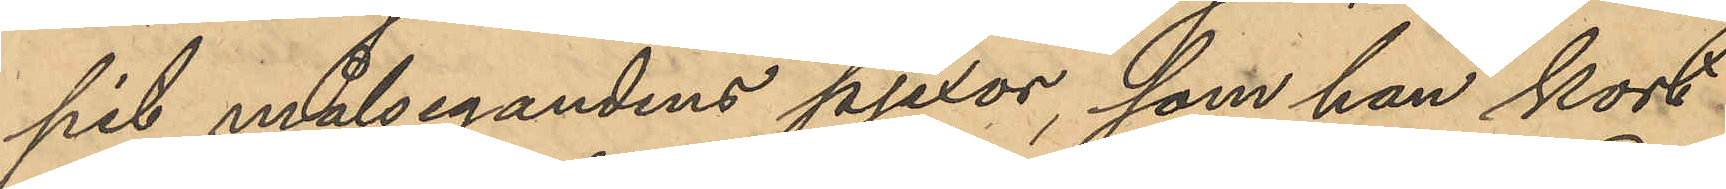pit målsegandens pjexor, som han kort
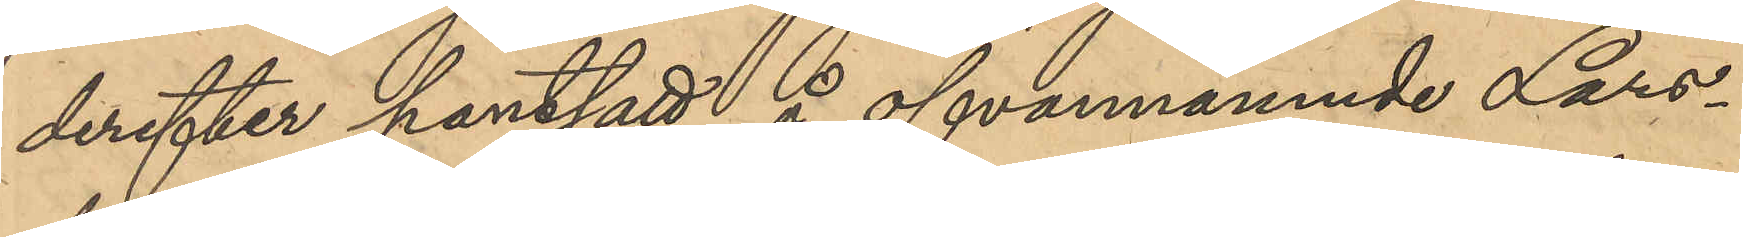derefter pantsatt å ofvannämnde Lars¬
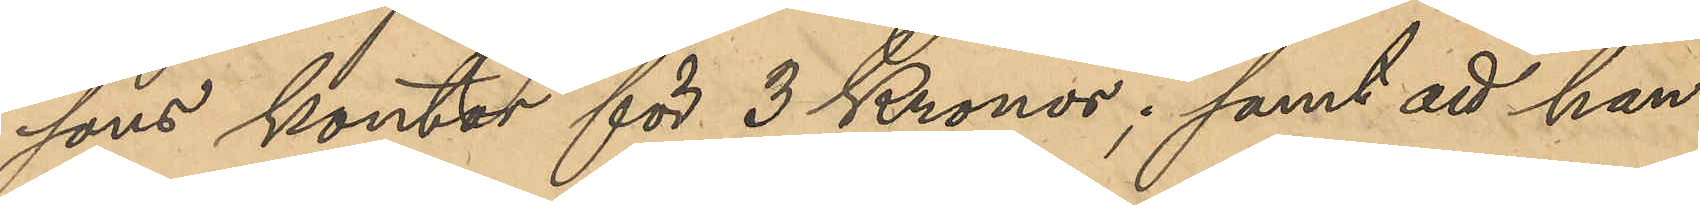sons kontor för 3 Kronor; samt att han
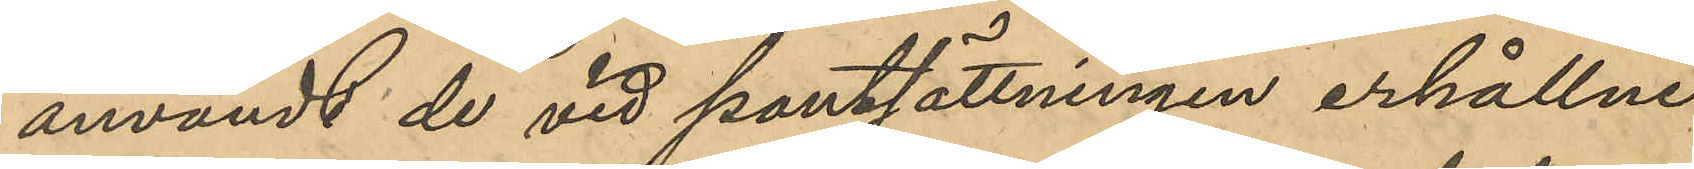användt de vid pantsättningen erhållne
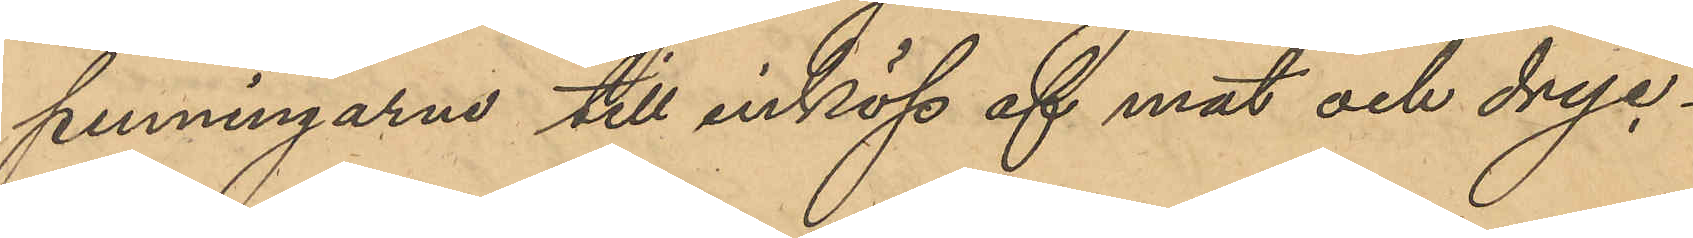penningarne till inköp af mat och dryc¬
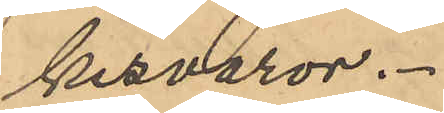kesvaror.
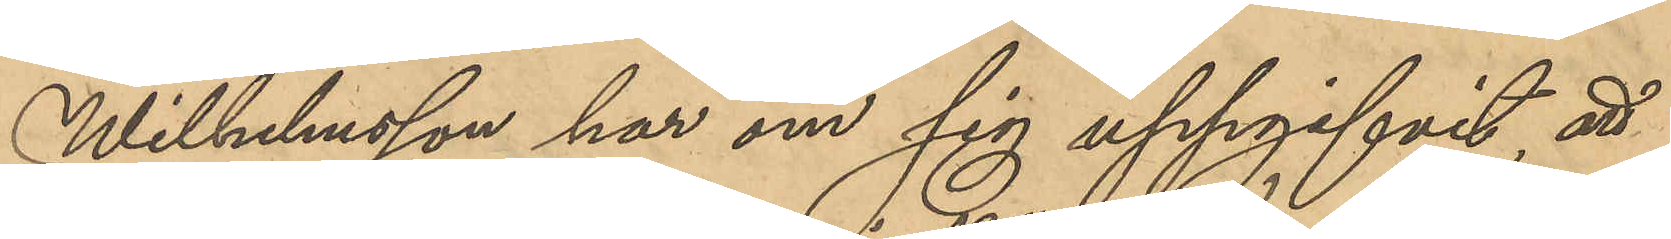Wilhelmsson har om sig uppgifvit, att
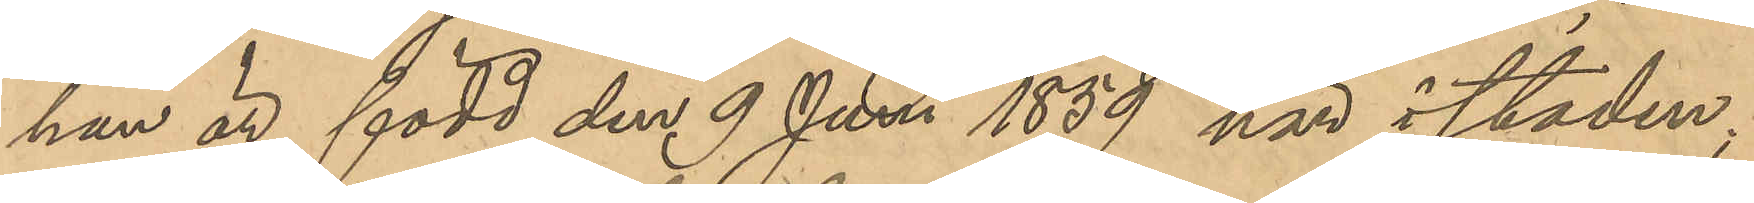han är född den 9 Juni 1859 här i staden;
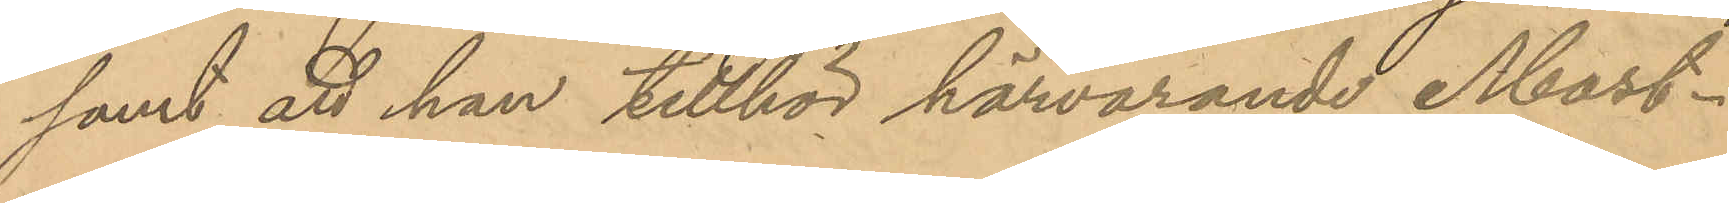samt att han tillhör härvarande Mast¬
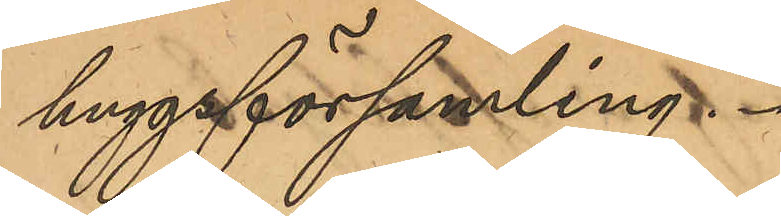huggsförsamling.
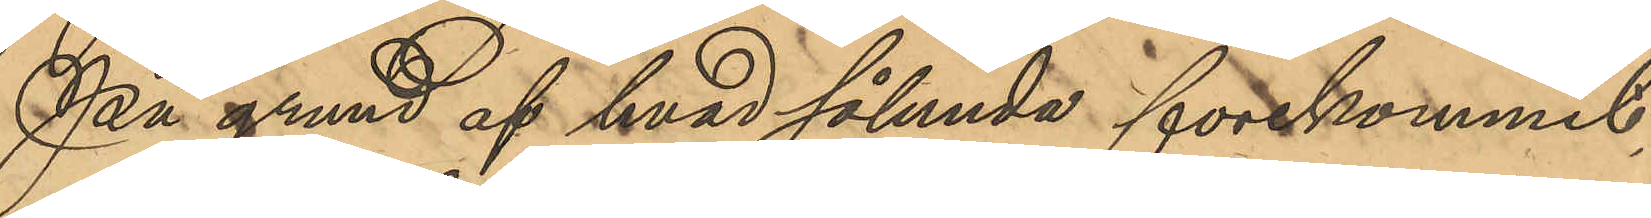På grund af hvad sålunda förekommit
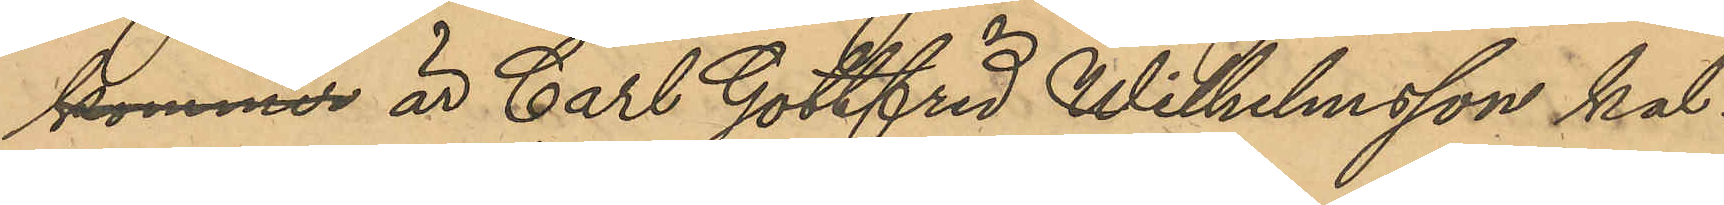kommer är Carl Gottfrid Wilhelmsson kal¬
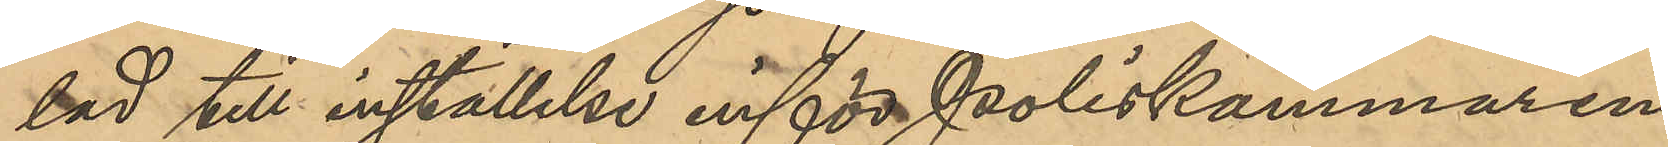lad till inställselse inför Poliskammaren
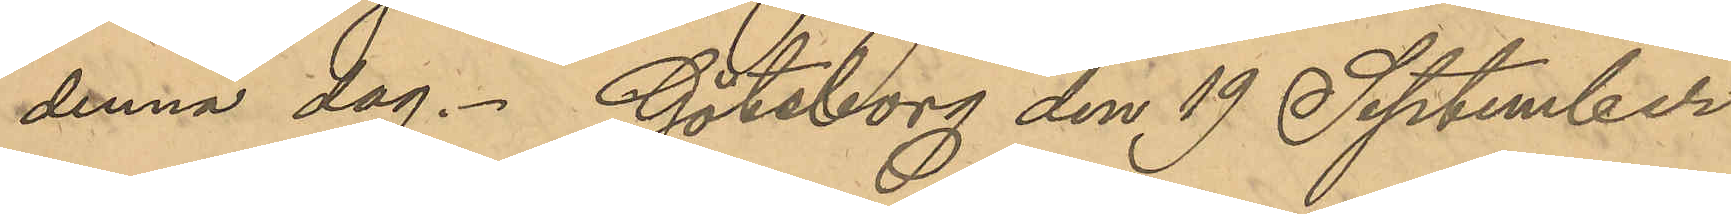denna dag. Göteborg den 19 September
